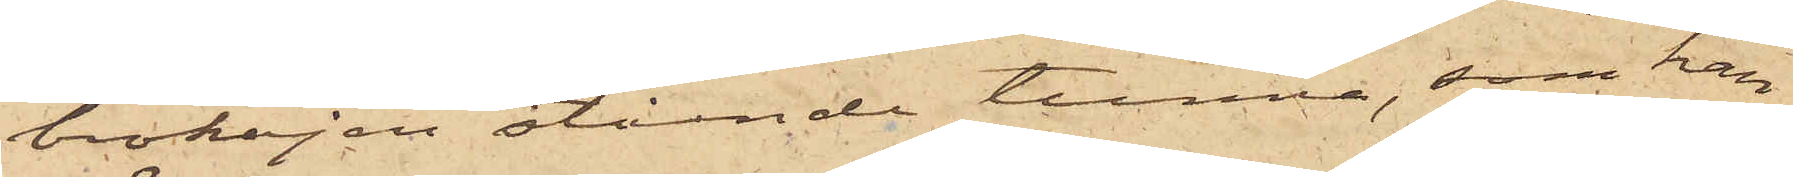brokajen stående tunna, som han
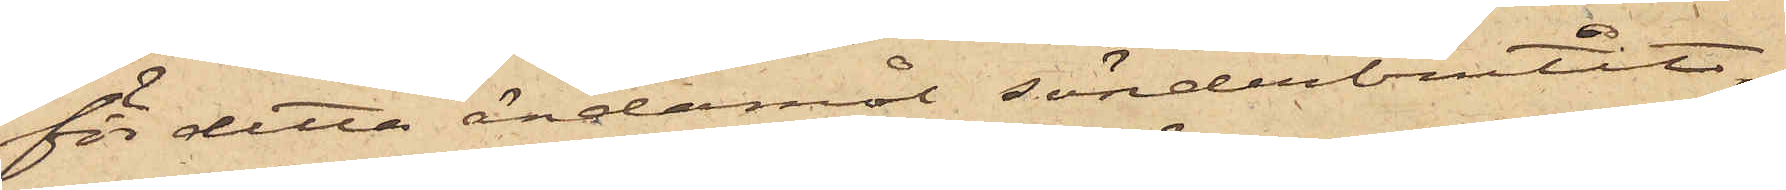för detta ändamål sönderbrutit,
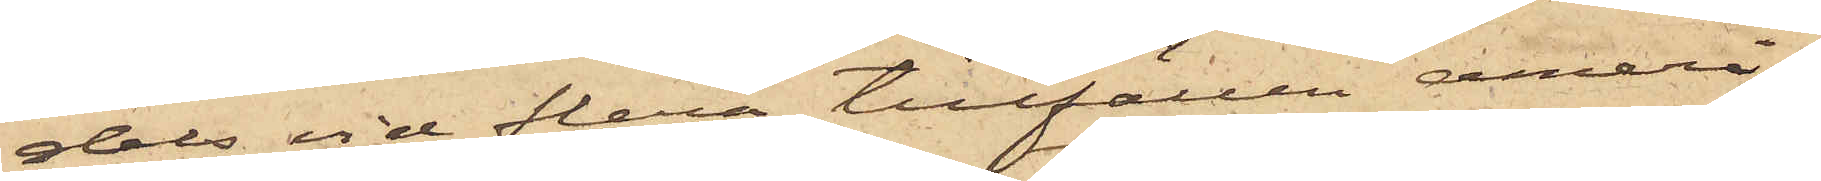dels vid flera tillfällen ameri¬
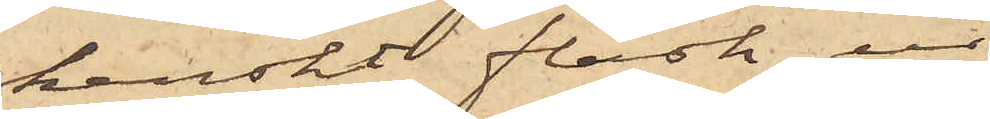kanskt fläsk ur
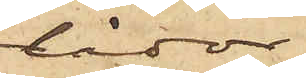lådor
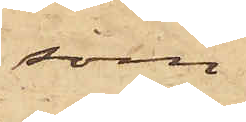som
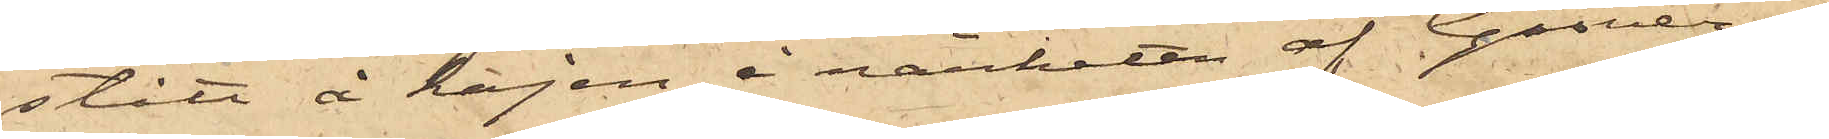stått å kajen i närheten af Gasver¬
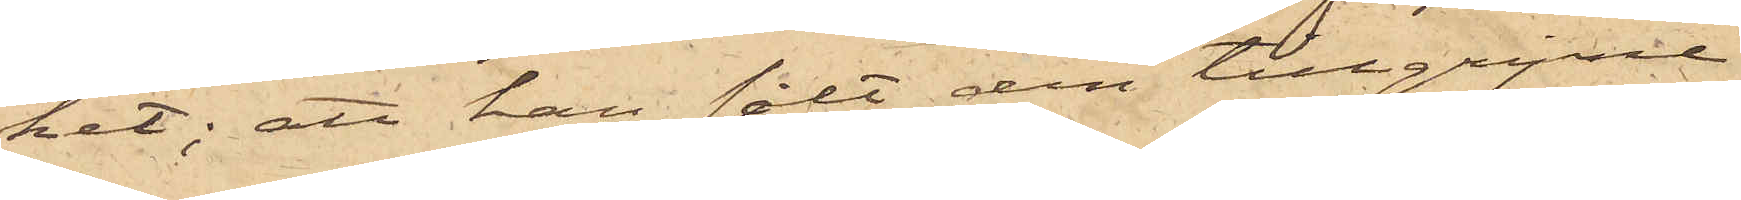ket; att han sålt den tillgripne
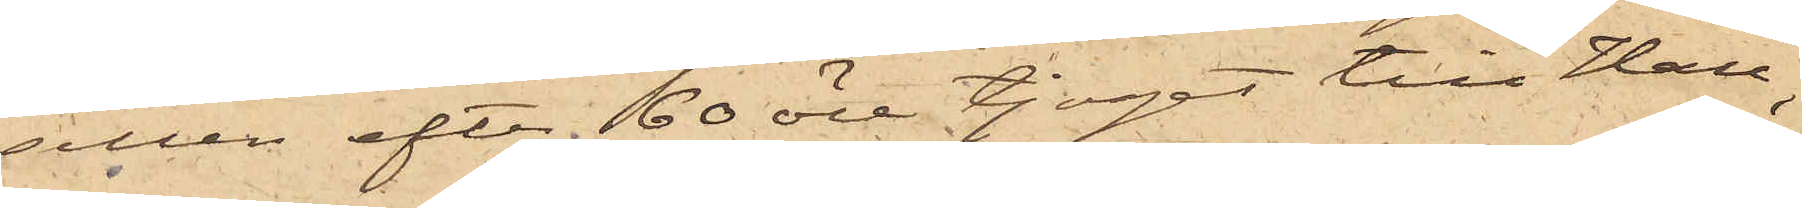sillen efter 60 öre tjoget till Hall,
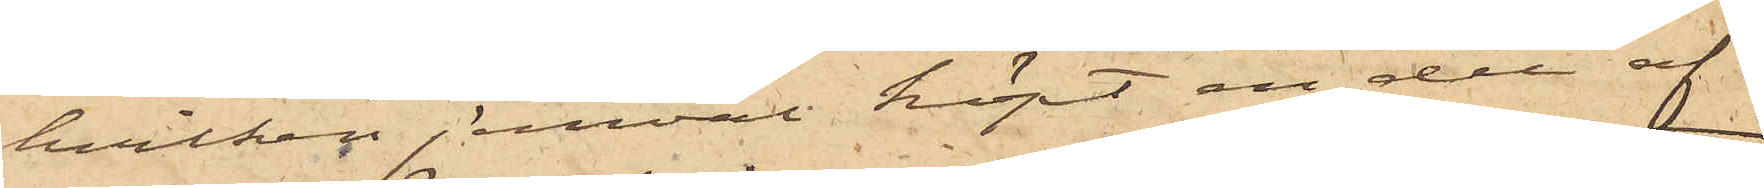hvilken jemväl köpt en del af
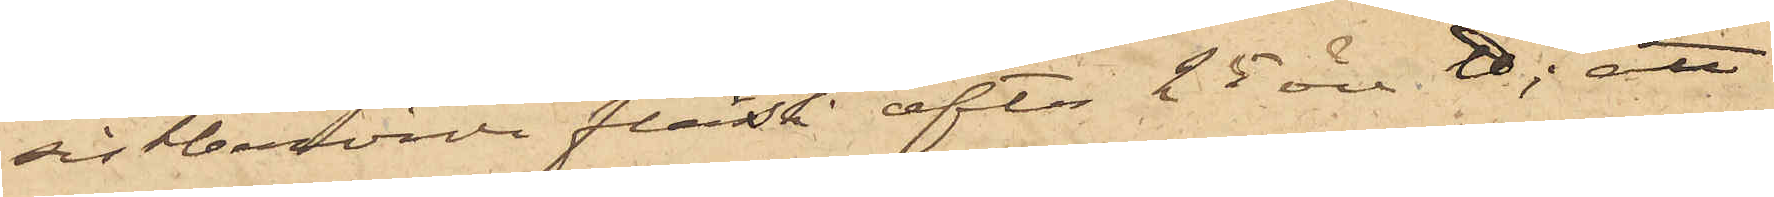sistberörde fläsk, efter 25 öre ℔; att
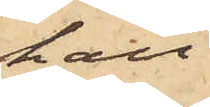han
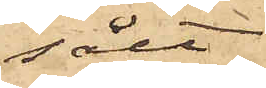sålt
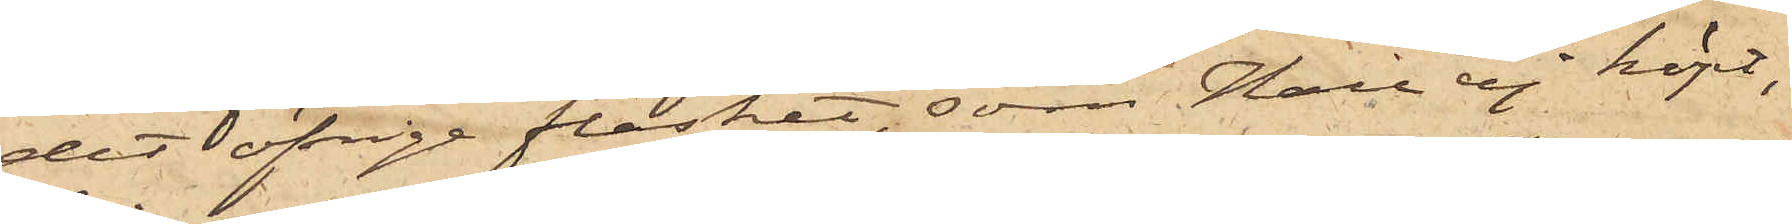det öfrige fläsket, som Hall ej köpt,
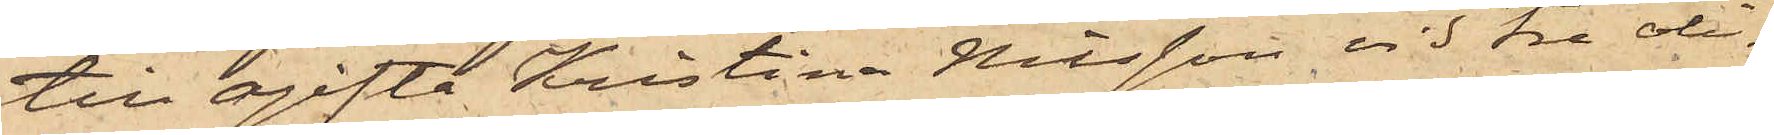till ogifta Kristina Nilsson vid tre oli¬
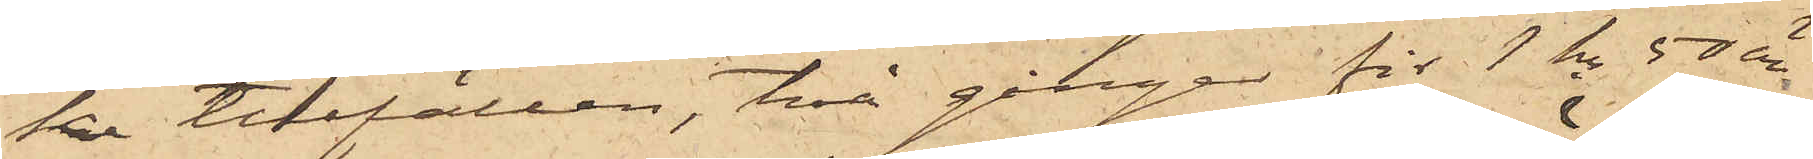ka tillfällen, två gånger för 1 kr 50 öre
